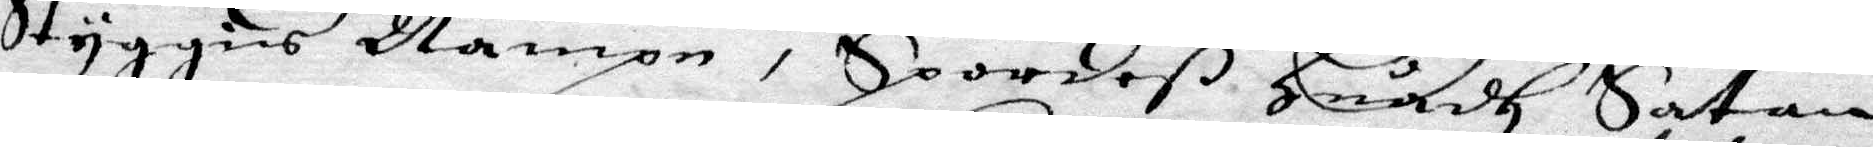Styggies Nampn, Spordeß Huadh Satan
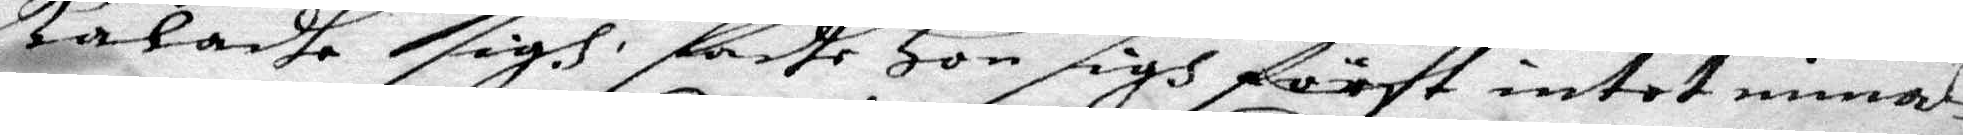kaladhe sigh, sadhe Hon sigh först intet minas,
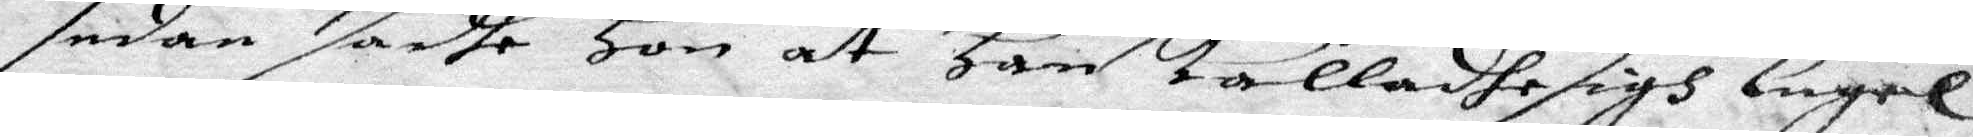sedan sadhe Hon at han kalladhe sigh Engel
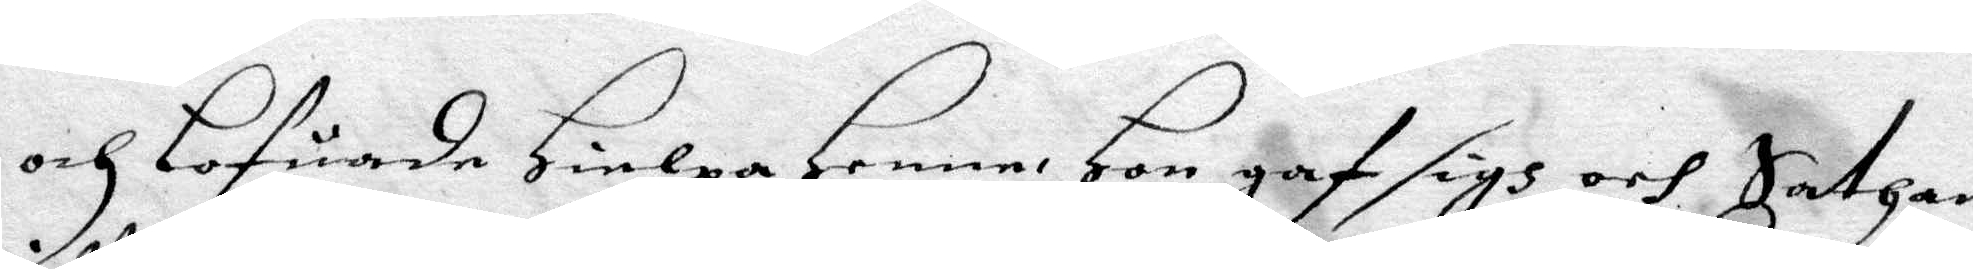och Lofuade Hielpa henne Hon gaf sigh och Sathan
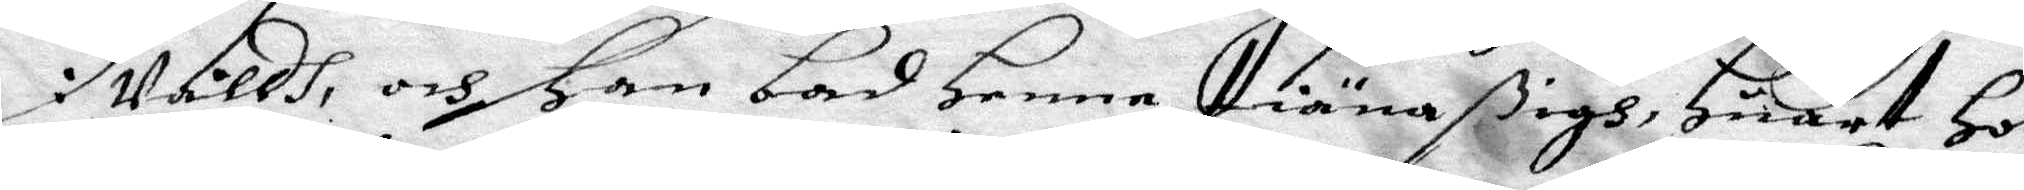i Våldh, och Han bad Henne tiäna ßigh, Huart Hon
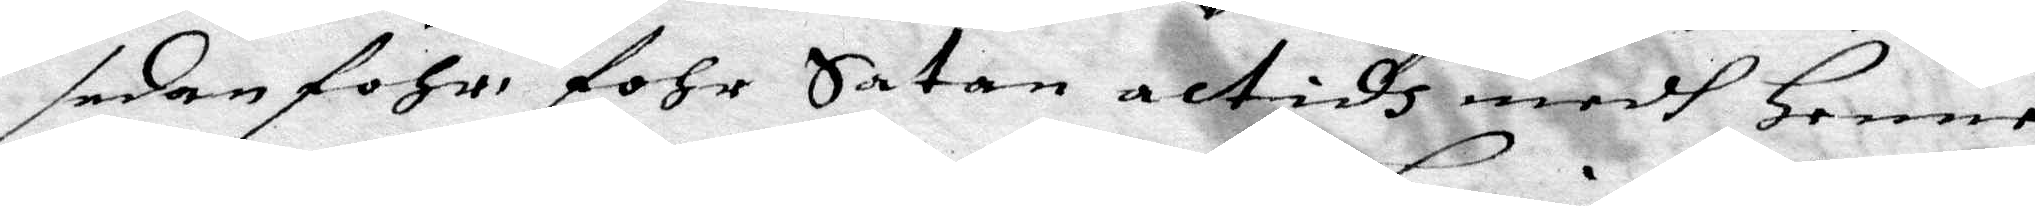sedan fohr, fohr Satan altidh medh Henne
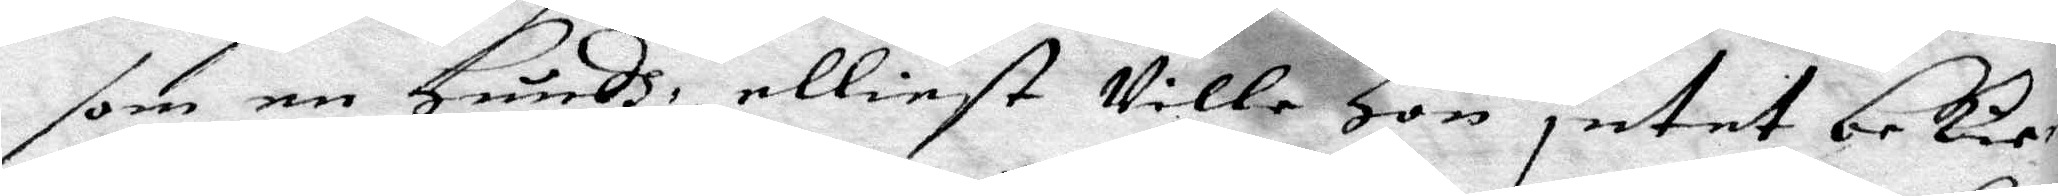som en Hundh, elliest Ville Hon intet bekie¬
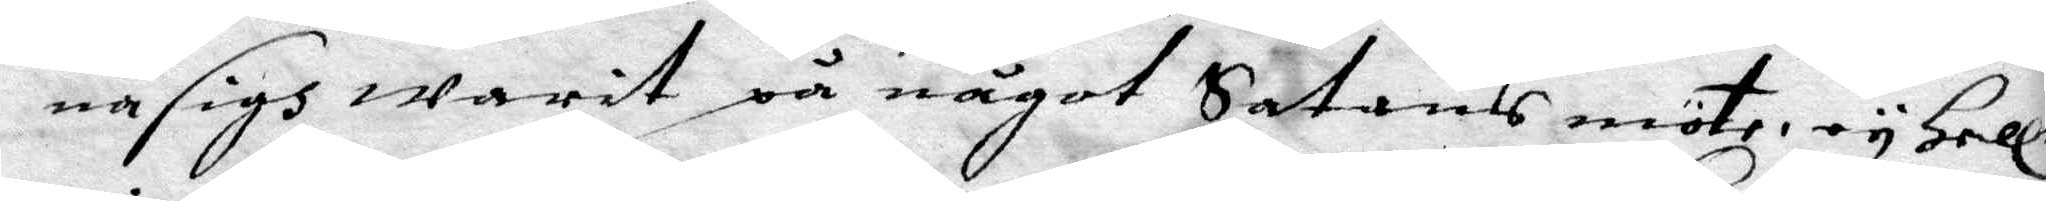na sigh warit på något Satans möte, ey Heller
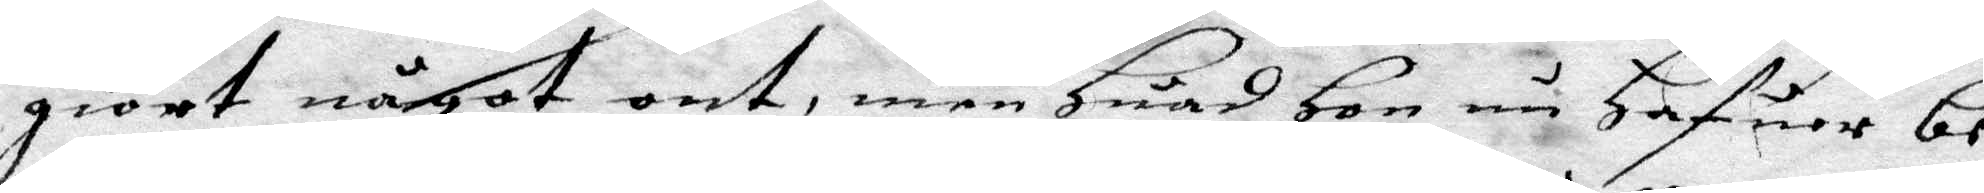giort något ont, men Huad Hon nu Hafuer be¬
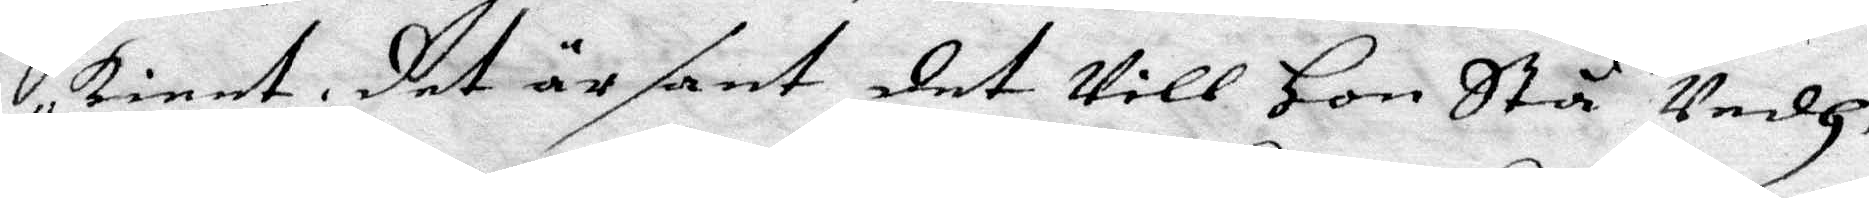kient det är sant det Vill Hon Stå Vedh.
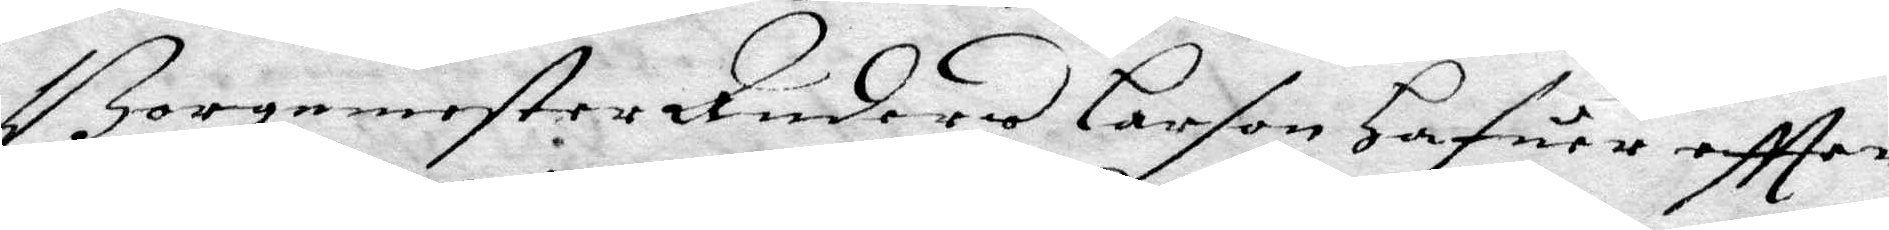Borgmester Anders Larson hafuer eftter
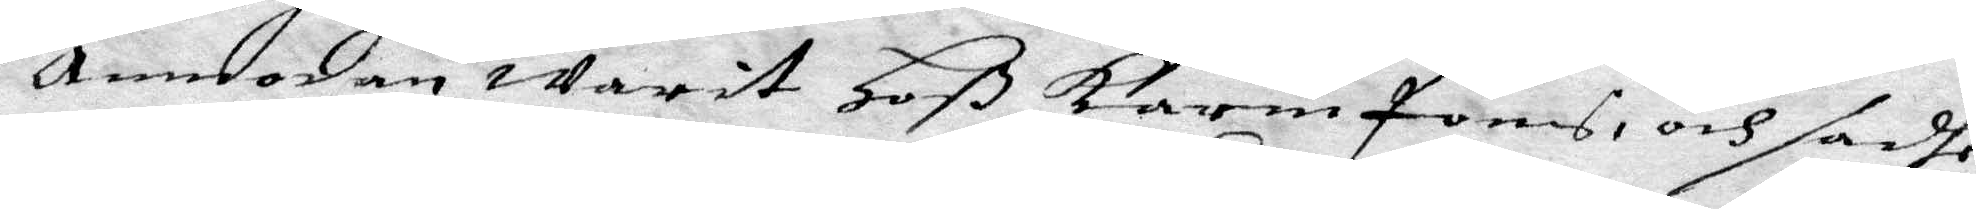anmodan warit Hoß Karin Jons och sadhe
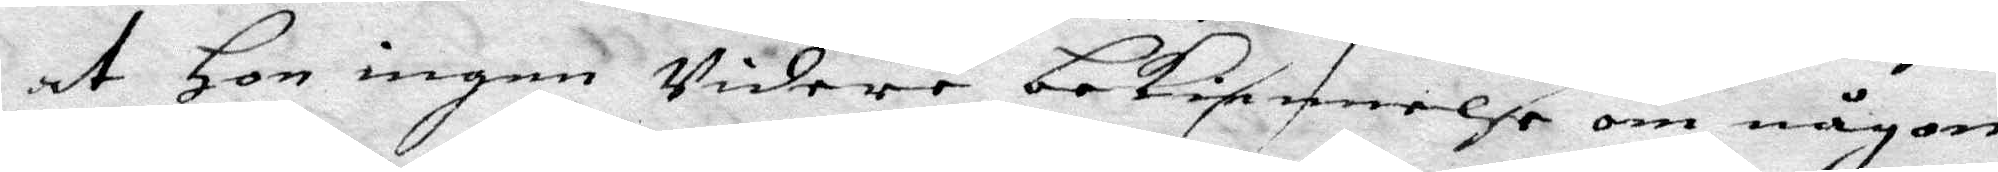at Hon ingen Vidare bekiennelse om någon
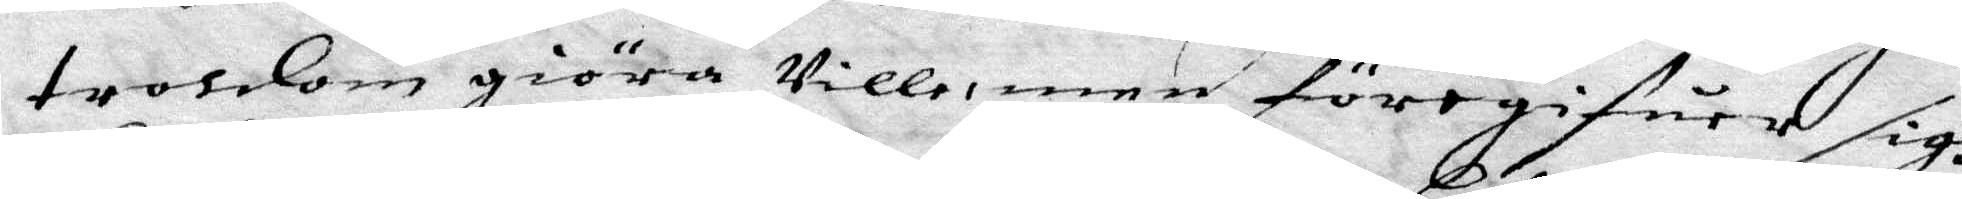troldom giöra Ville, men föregifuer sigh
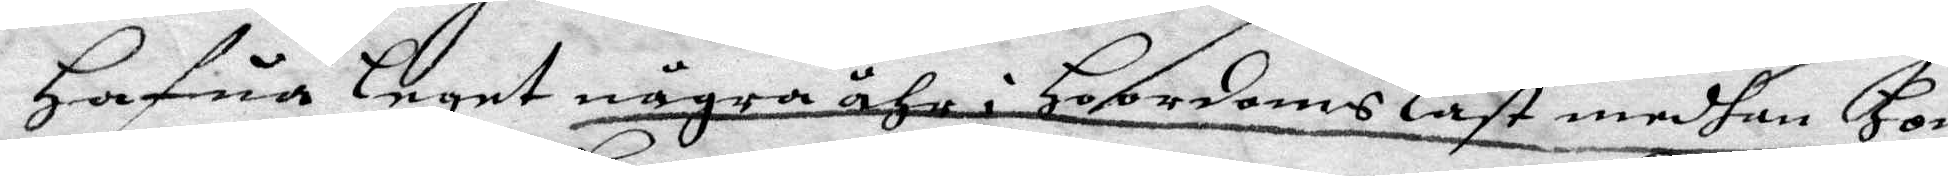Hafua Leget några åhr i HoordomsLast medhan Hon
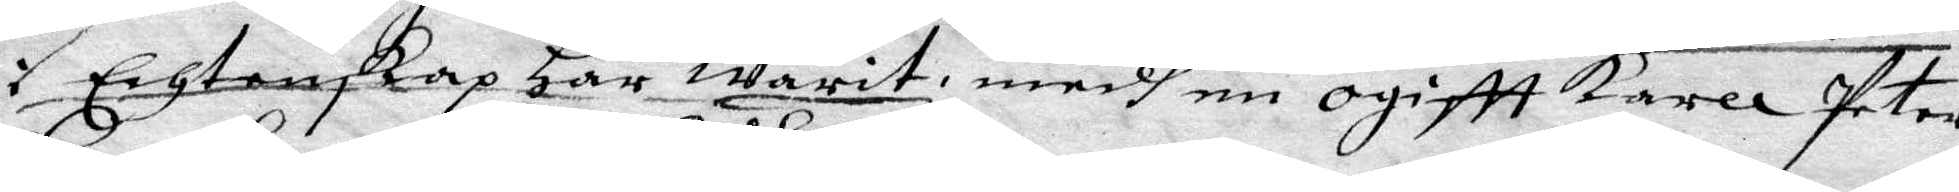i Echtenskap Har warit, medh en ogiftt karll Peter
